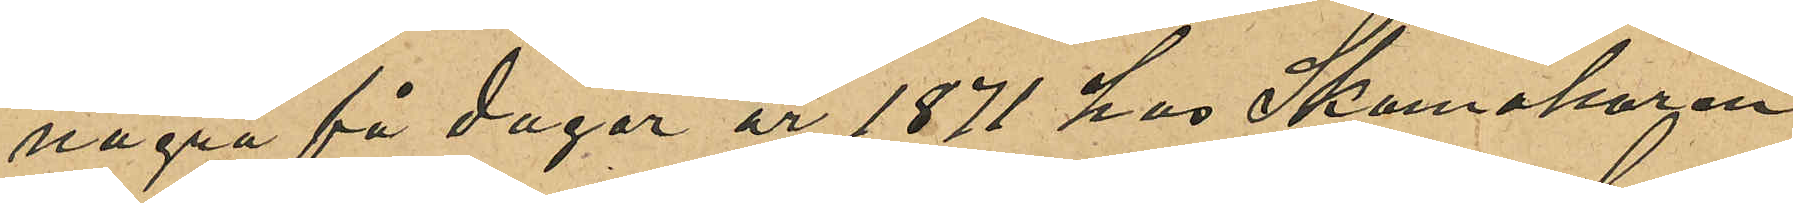några få dagar år 1871 hos Skomakaren
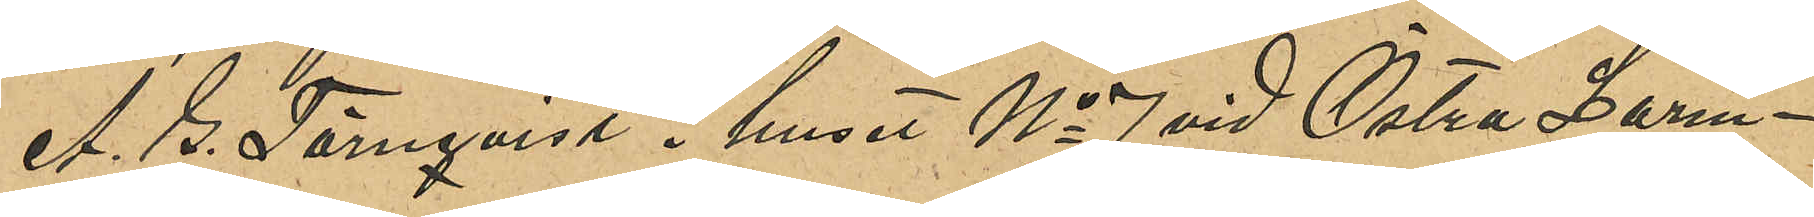A. G. Törnqvist i huset No 7 vid Östra Larm¬
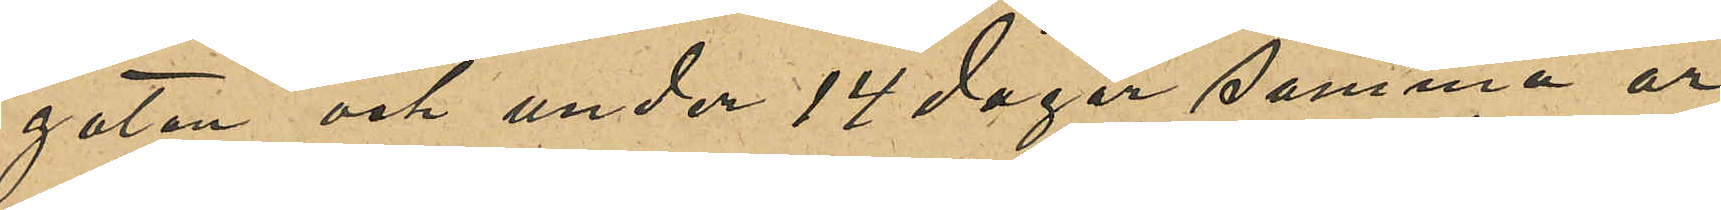gatan och under 14 dagar samma år
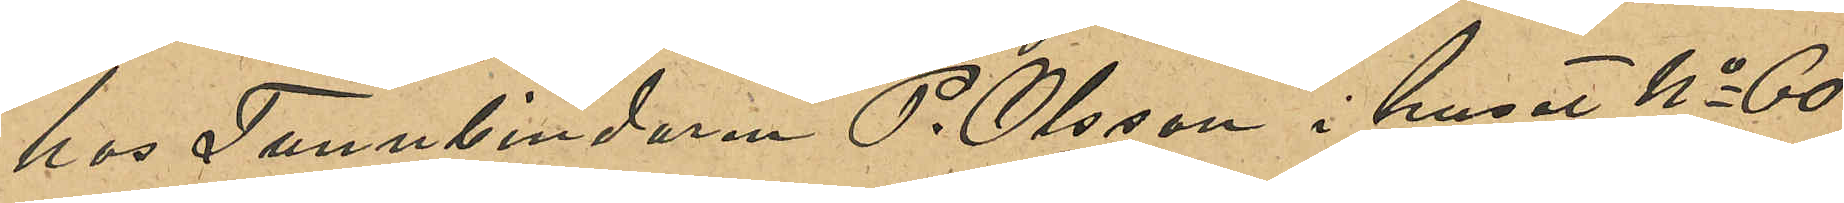hos Tunnbindaren P. Olsson i huset No 60
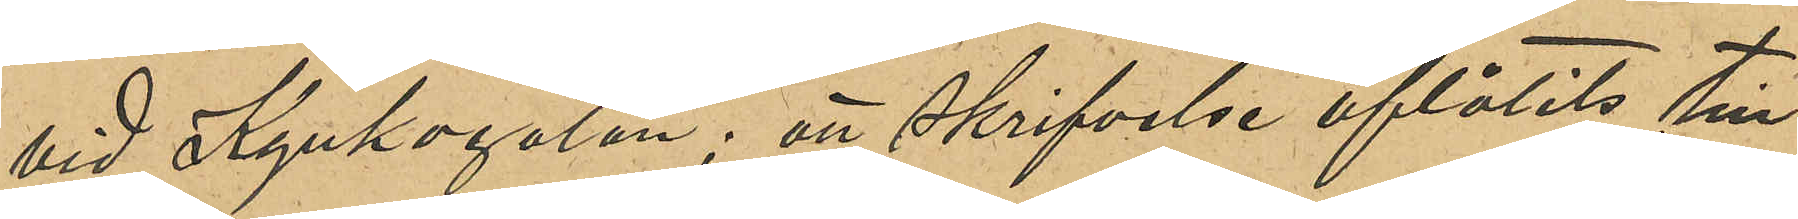vid Kyrkogatan; att skrifvelse aflåtits till
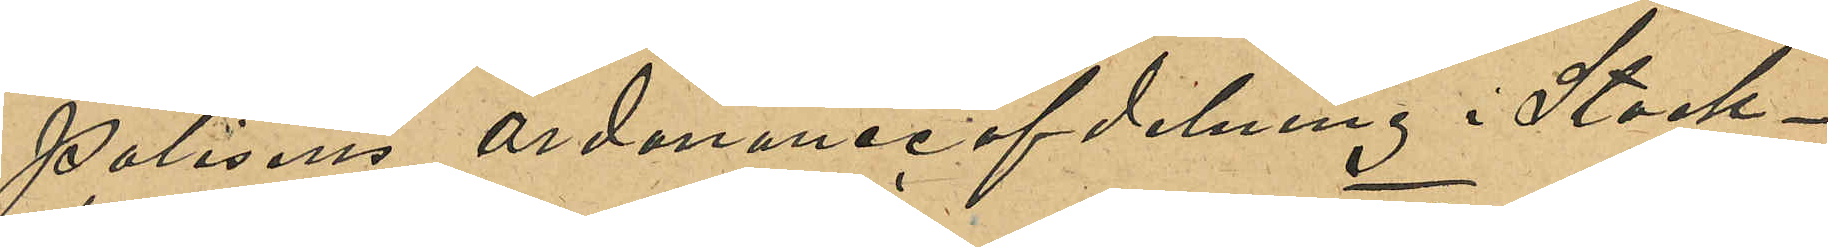polisens ordonanseafdelning i Stock¬
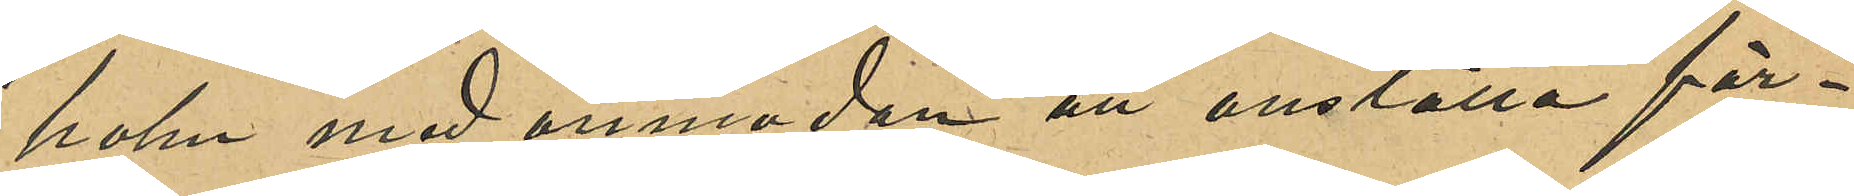holm med anmodan att anställa för¬
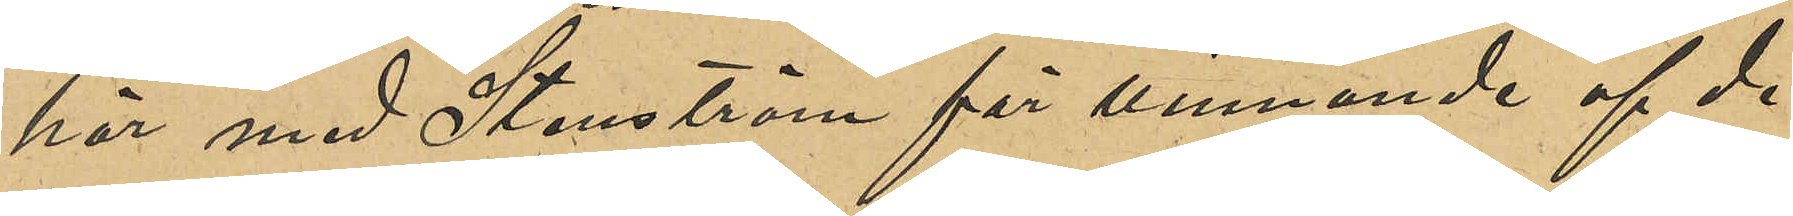hör med Stenström för vinnande af de
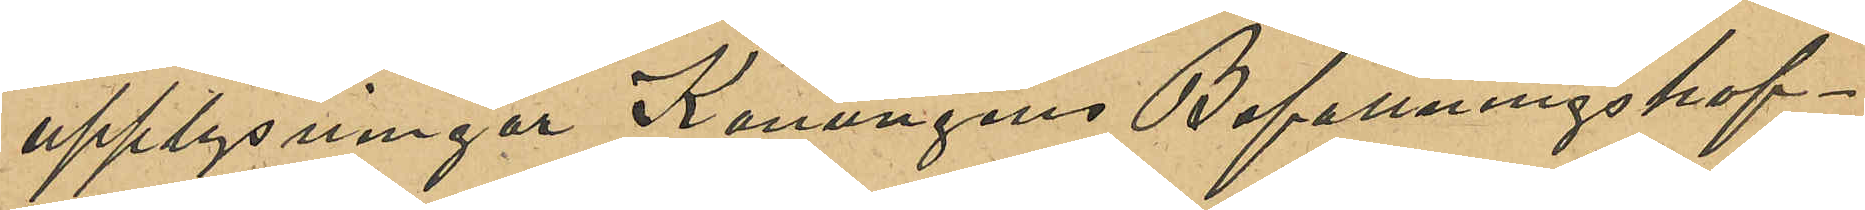upplysningar Konungens Befallningshaf¬
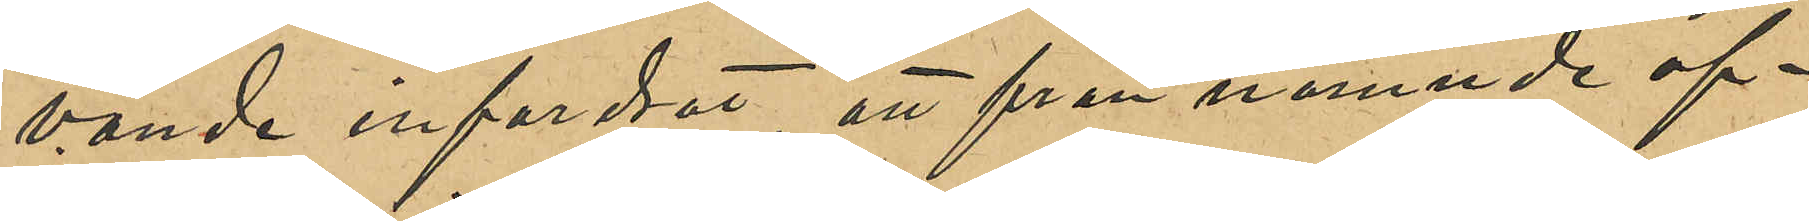vande infordrat, att från nämnda af¬
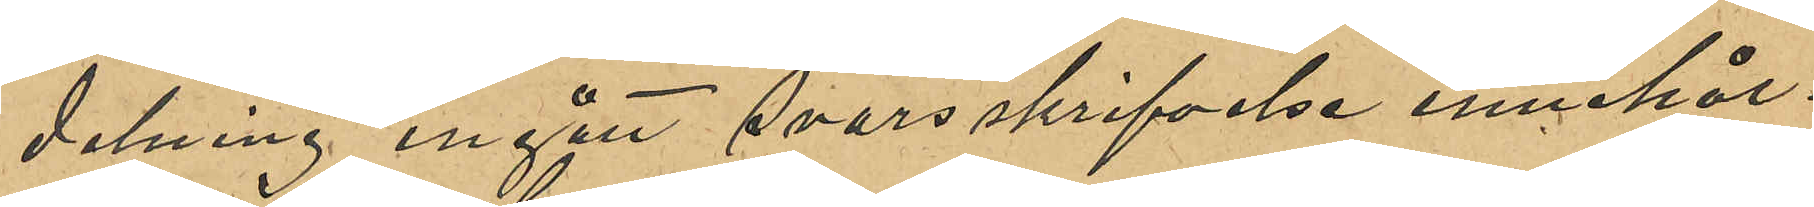delning ingått svarsskrifvelse innehål¬
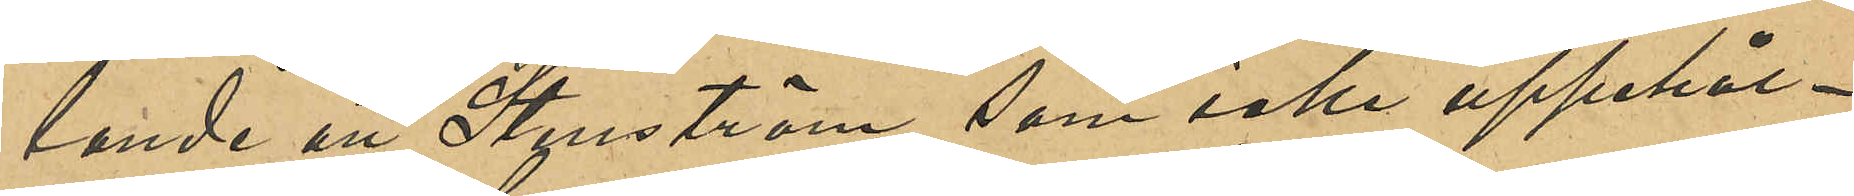lande att Stenström, som icke uppehål¬
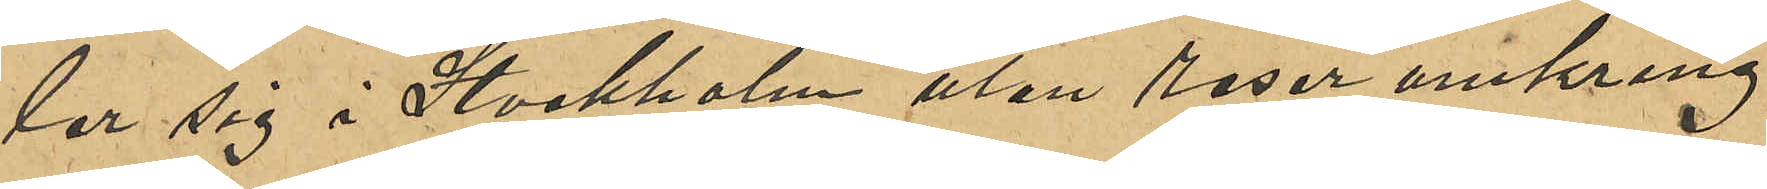ler sig i Stockholm utan reser omkring
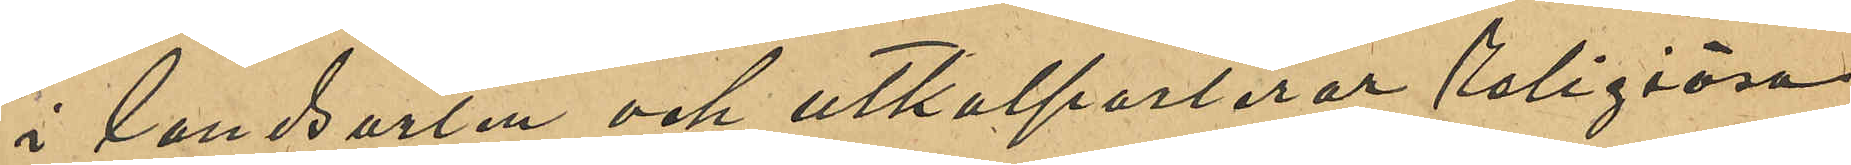i landsorten och utkolporterar religiösa
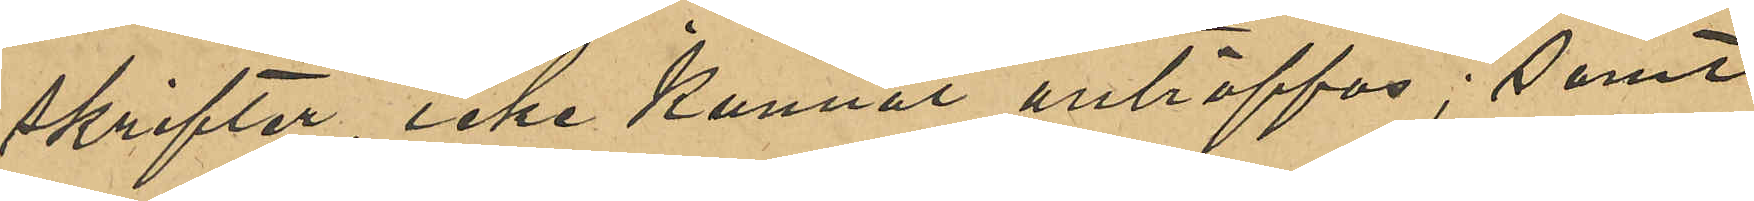skrifter, icke kunnat anträffas; samt
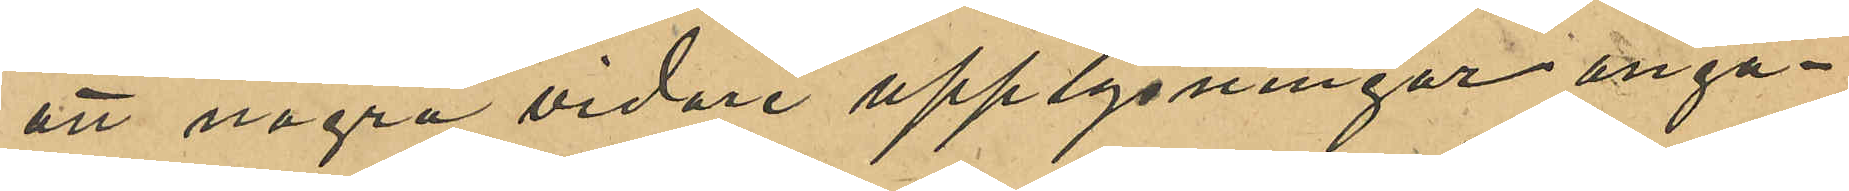att några vidare upplysningar angå¬
